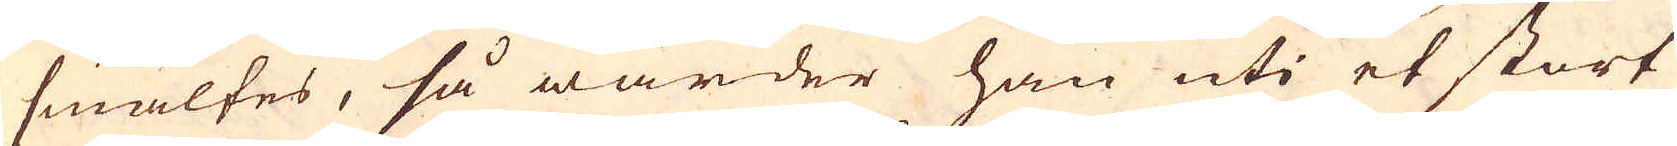smältes, så warder han uti et stort
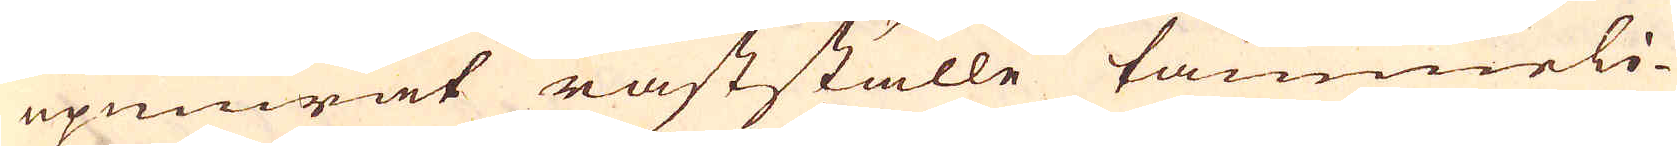upmurat råstställe tämmerli-
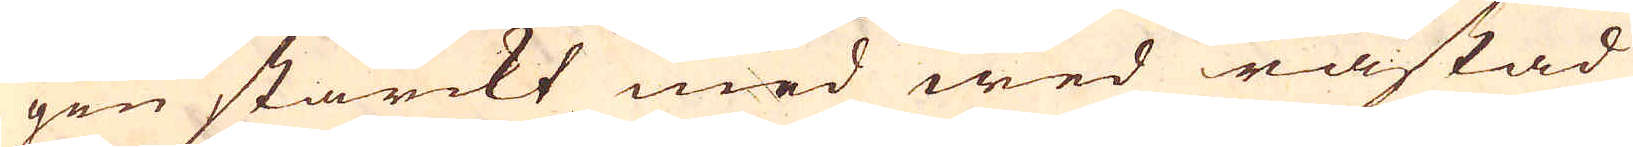gen starckt med wed råstad
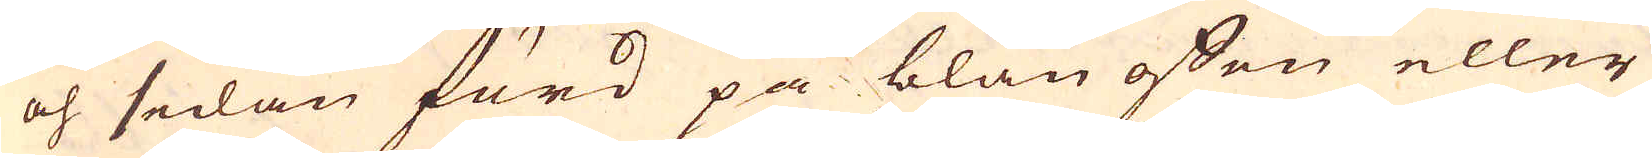och sedan förd på blän offen eller
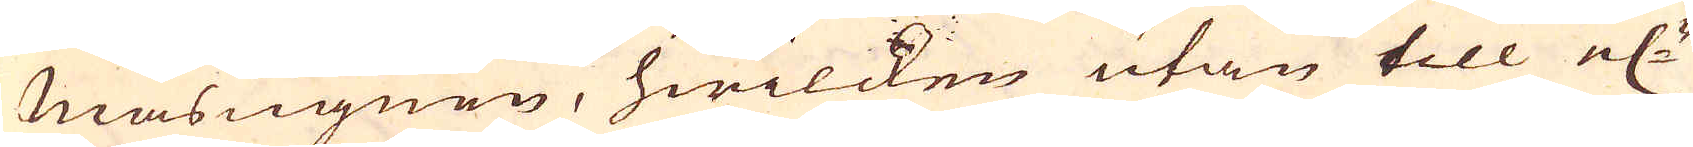Masugnen, hwilcken utan till el:r
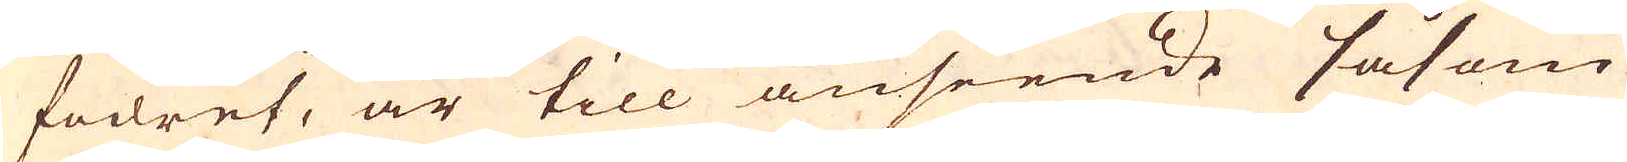fodret, är till anseende såsom
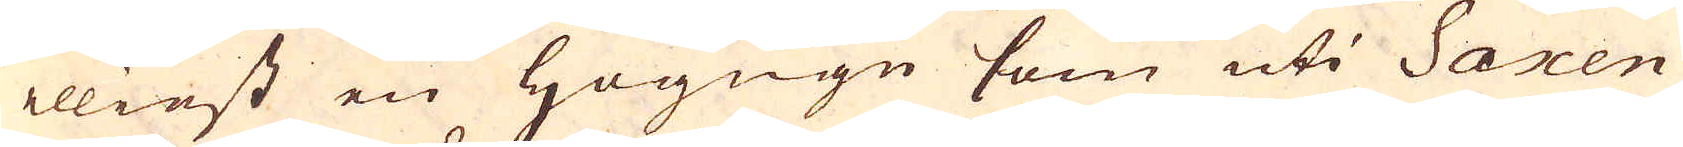elliest en Högugn som uti Saxen
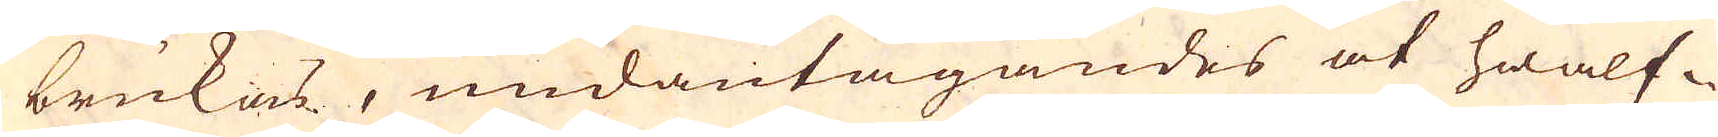brukas, undantagandes at hwalf-
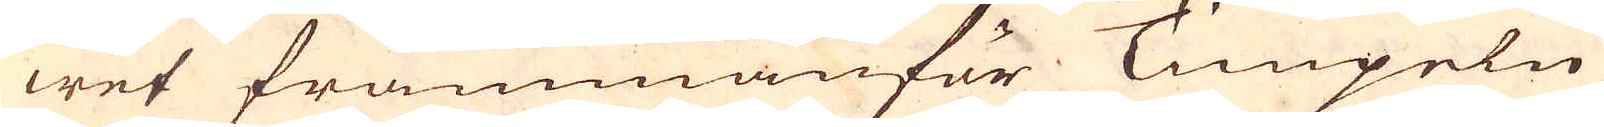wet frammanför Timpeln
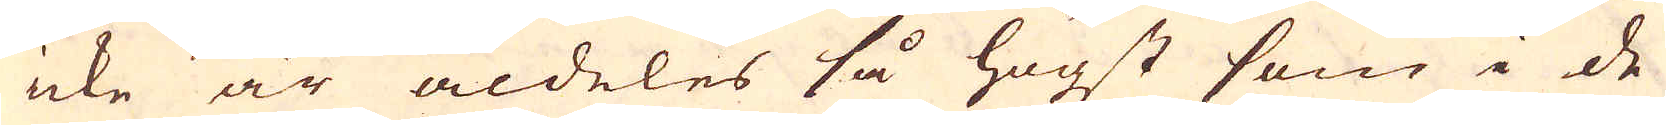icke är aldeles så högt som i de
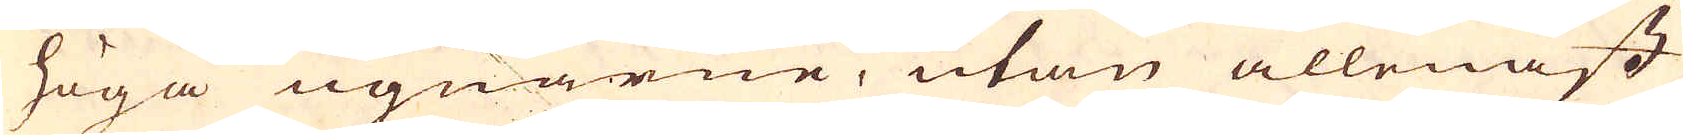höga ugnarne, utan allenast
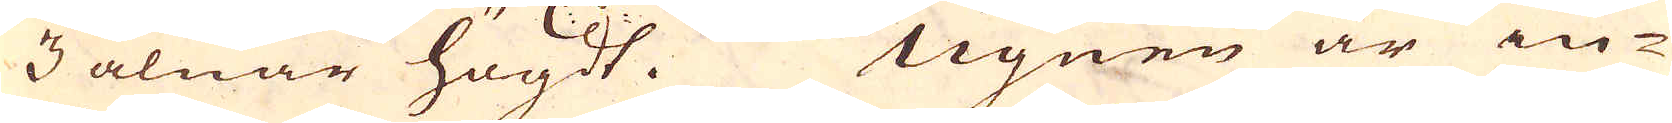3 alnar högdt. Ugnen är in-
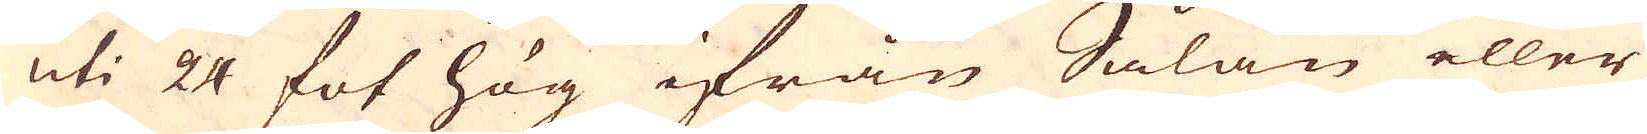uti 24 fot hög ifrån Sålan eller
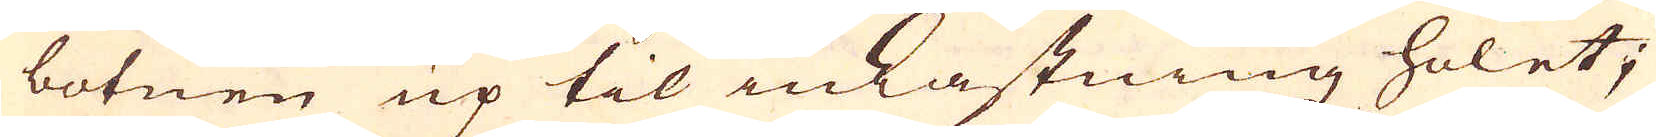botnen up til inkastningz holet;
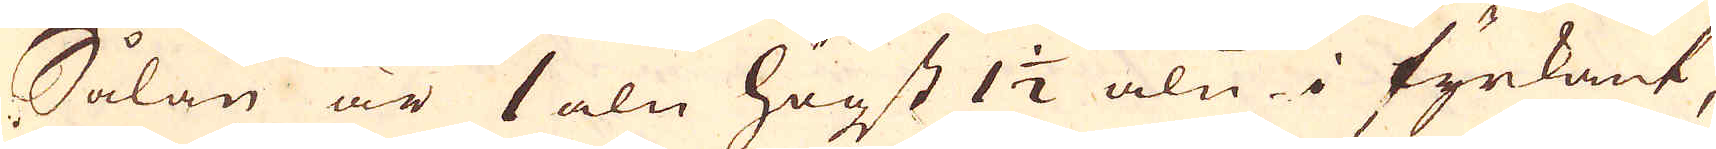Sålan är 1 aln högst 1 1/2 aln i fyrkant,
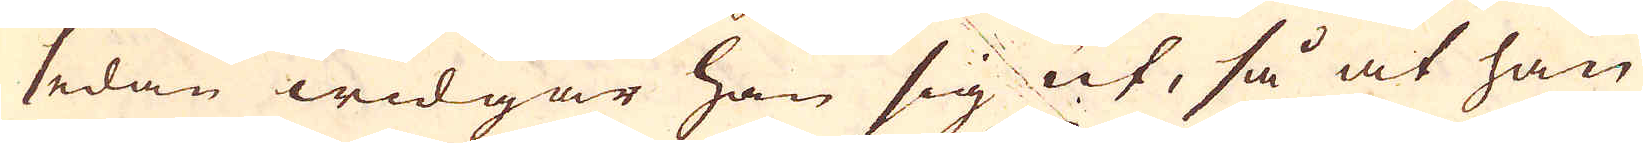sedan widgar han sig ut, så at han
